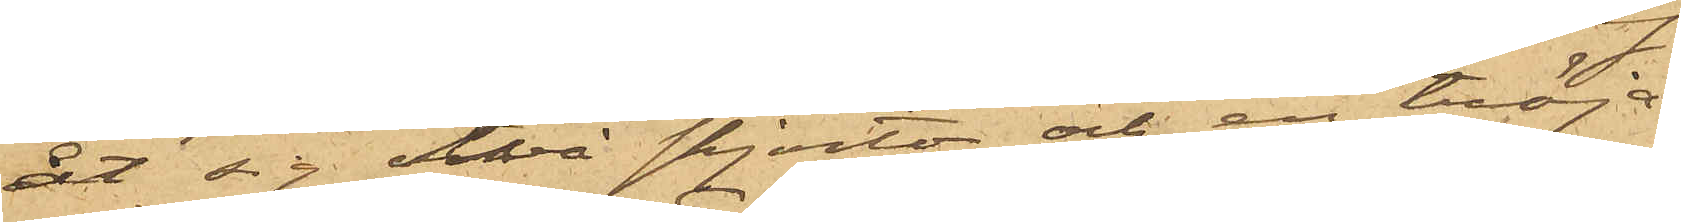åt sig två skjortor och en tröja,
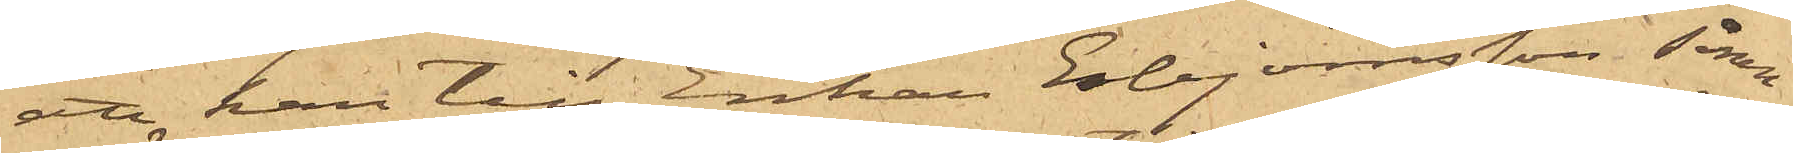att han till Enkan Esbjörnsson, såsom
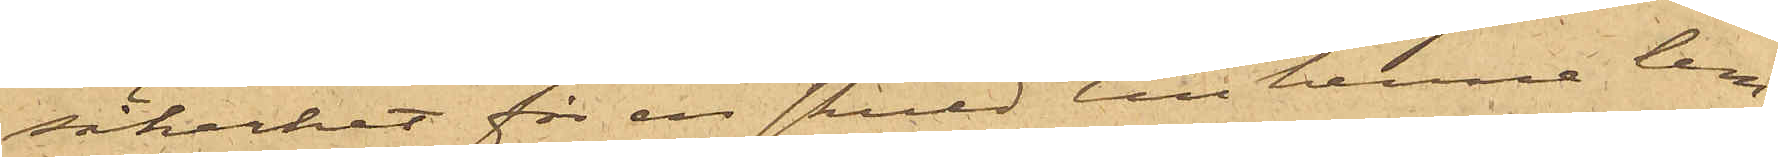säkerhet för en skuld till henne lem¬
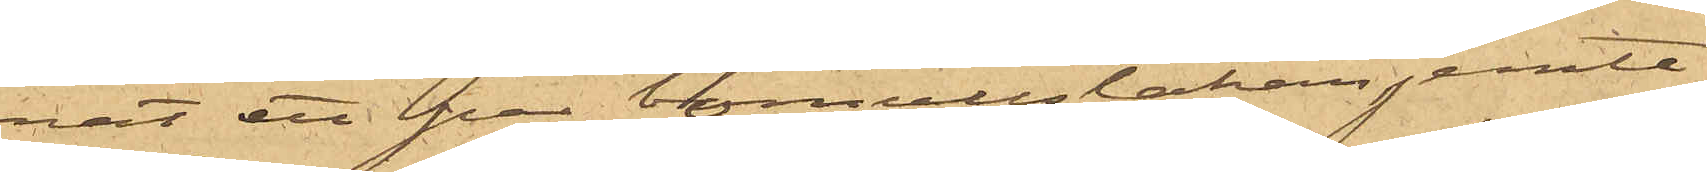nat ett par bomullslakan jemte
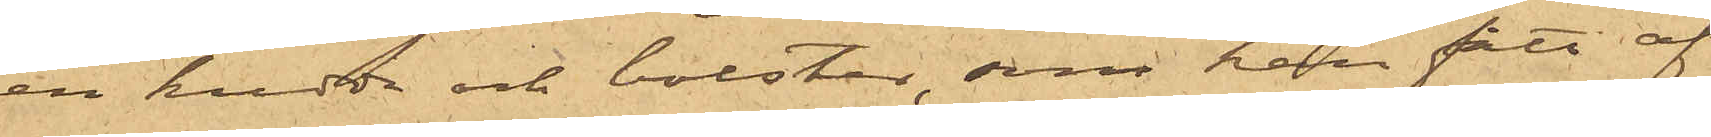en kudde och bolster, som han fått af
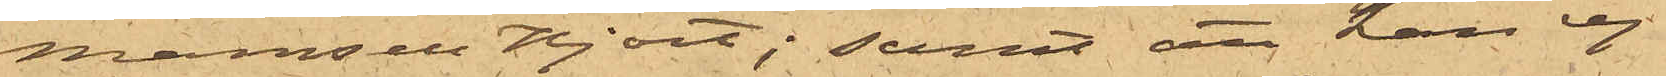Mamsell Hjort; samt att han ej
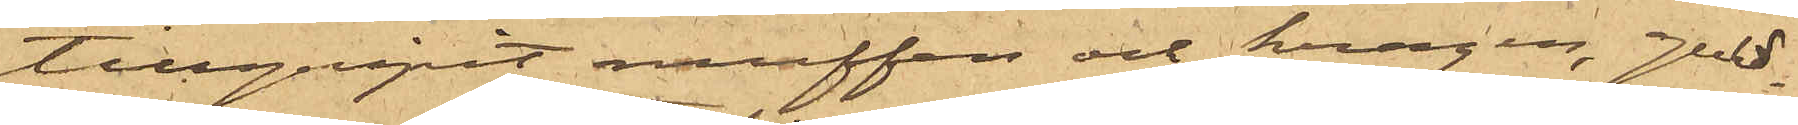tillgripit muffen och kragen, guld¬
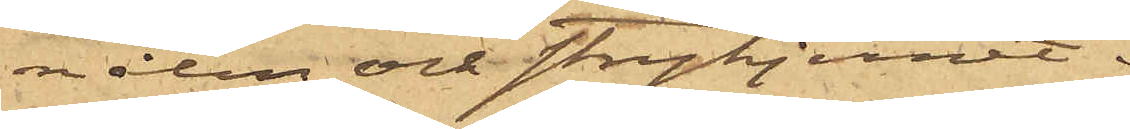nålen och strykjernet.
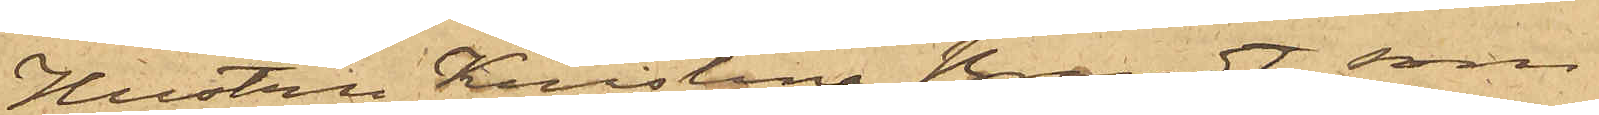Hustrun Kristina Brandt, som
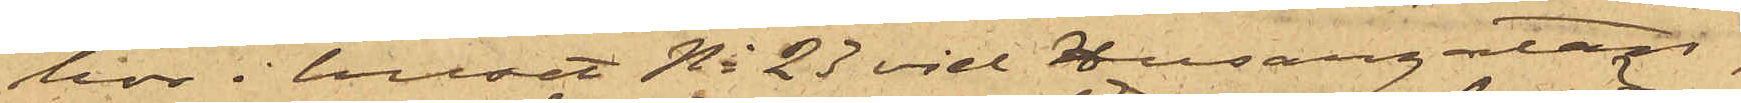bor i huset No 23 vid Husargatan,
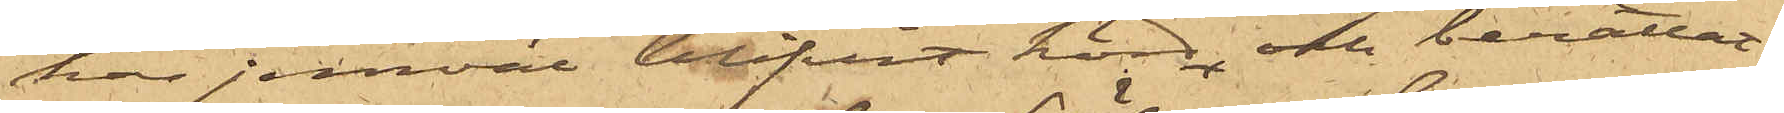har jemväl blifvit hörd och berättat,
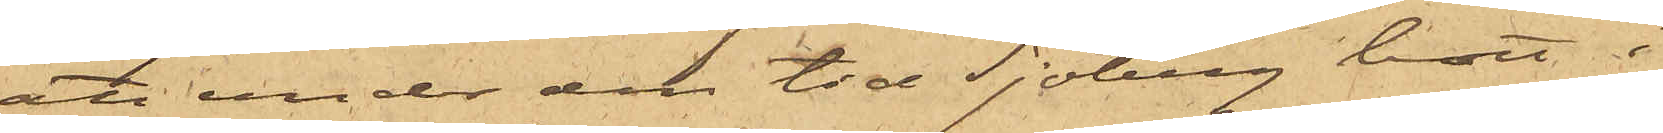att under den tid Sjöberg bott i
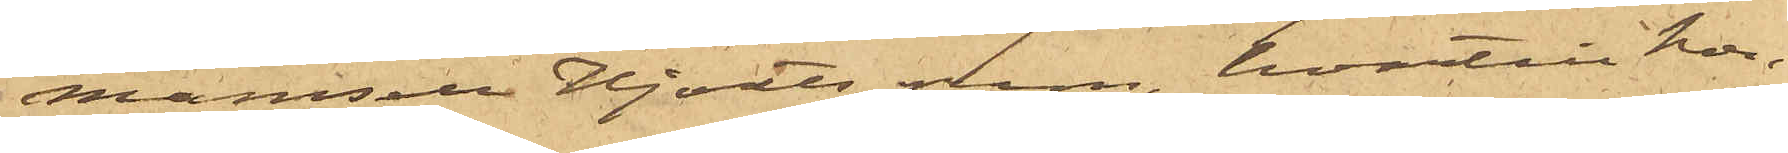Mamsell Hjorts rum, hvartill hon
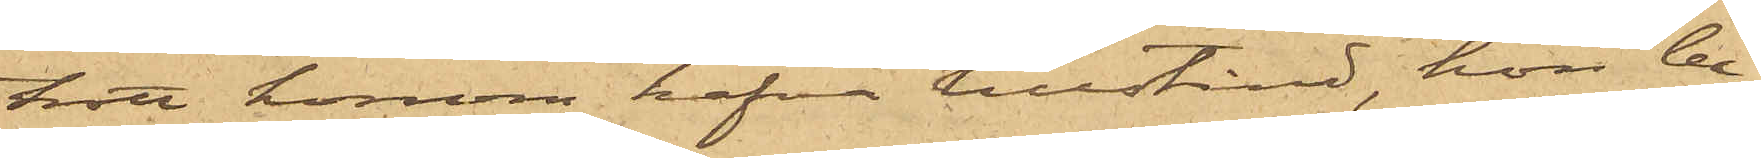trott honom hafva tillstånd, hon be¬
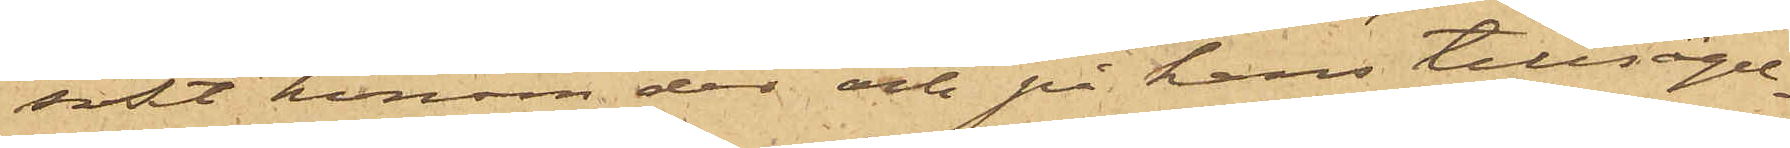sökt honom der och på hans tillsägel¬
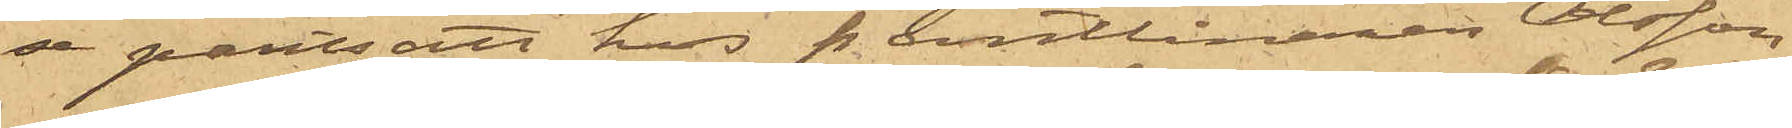se pantsatt hos Pantlånaren Olsson
